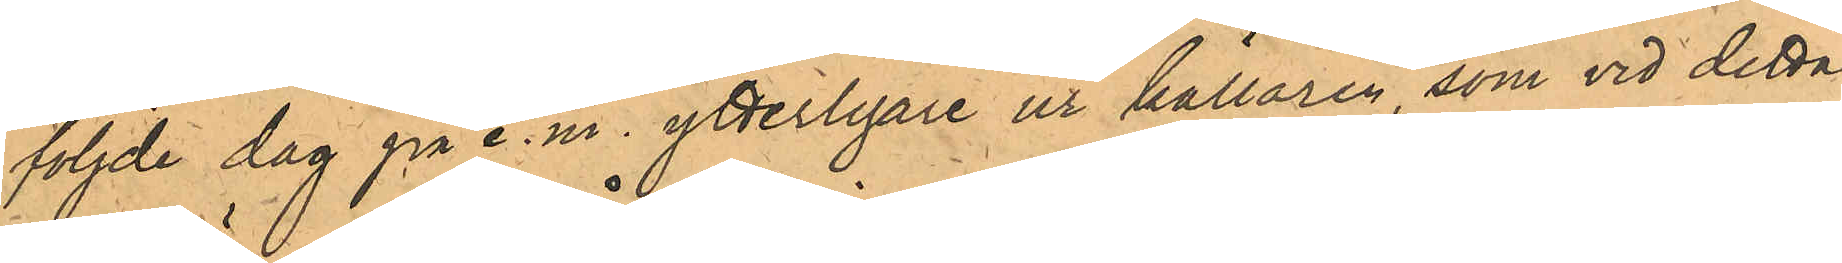följde dag på e.m. ytterligare ur källaren, som vid detta
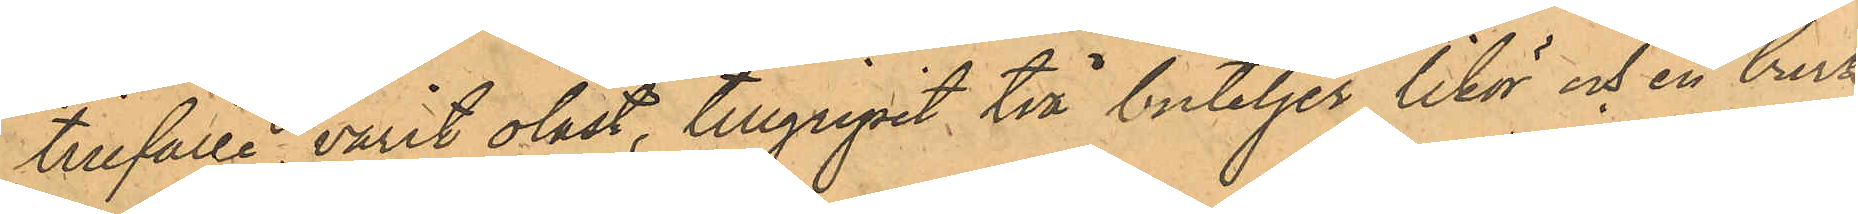tillfälle varit olåst, tillgripit två buteljer likör och en burk
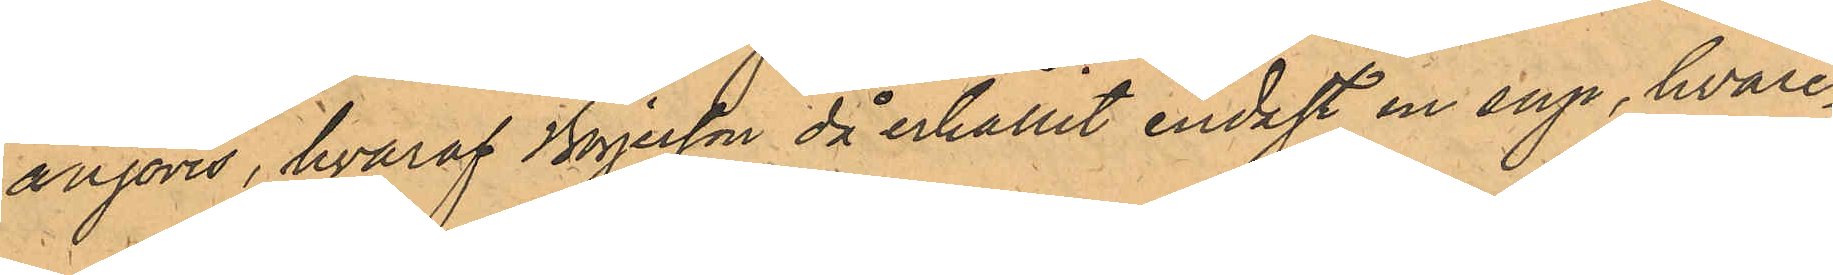anjovis, hvaraf Börjesson då erhållit endast en sup, hvare¬
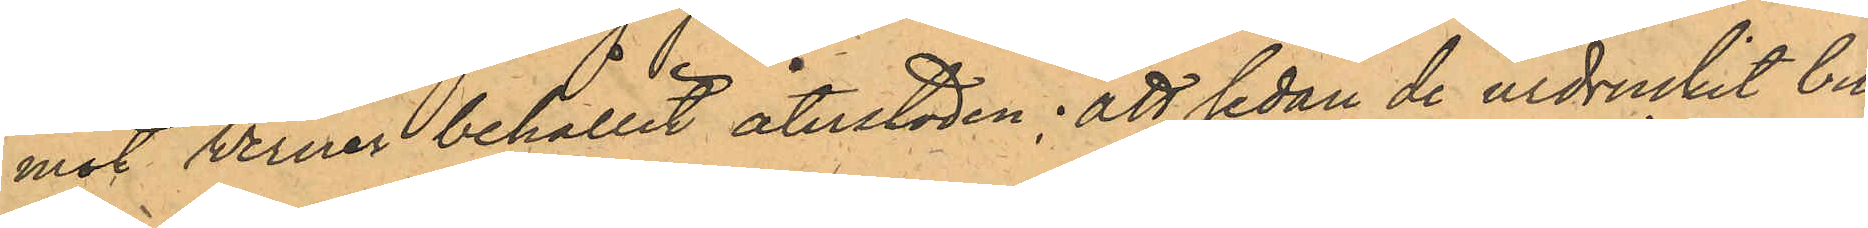mot Westman behållit återstoden; att sedan de urdruckit bu¬
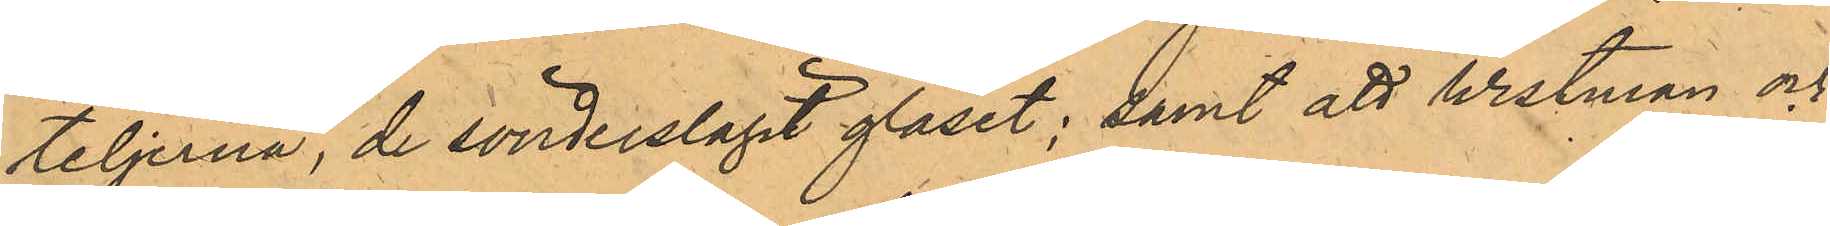teljerna, de sönderslagit glaset; samt att Westman och
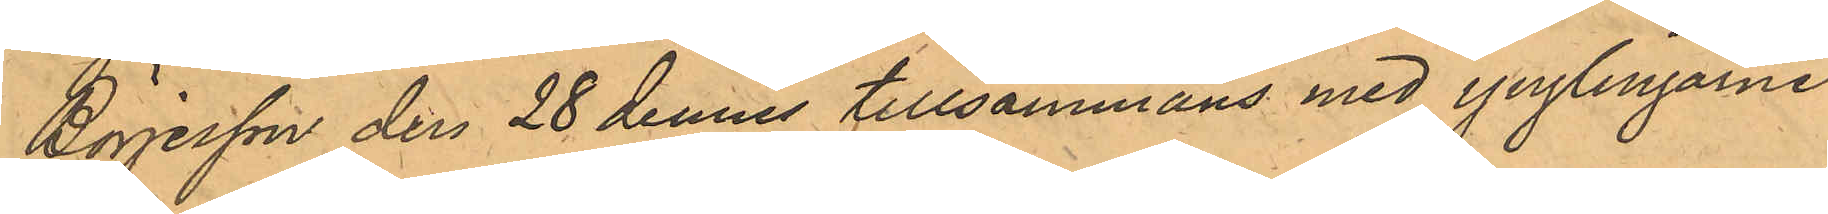Börjesson den 28 dennes tillsammans med ynglingarne
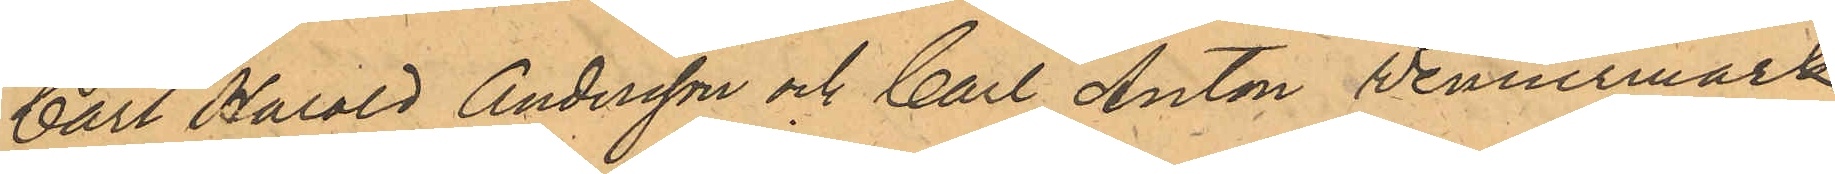Carl Harald Andersson och Carl Anton Wennermark
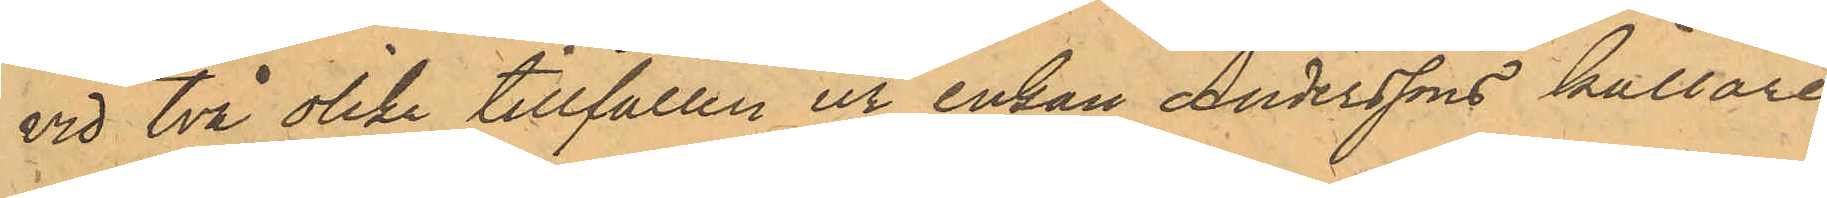vid två olika tillfällen ur enkan Anderssons källare
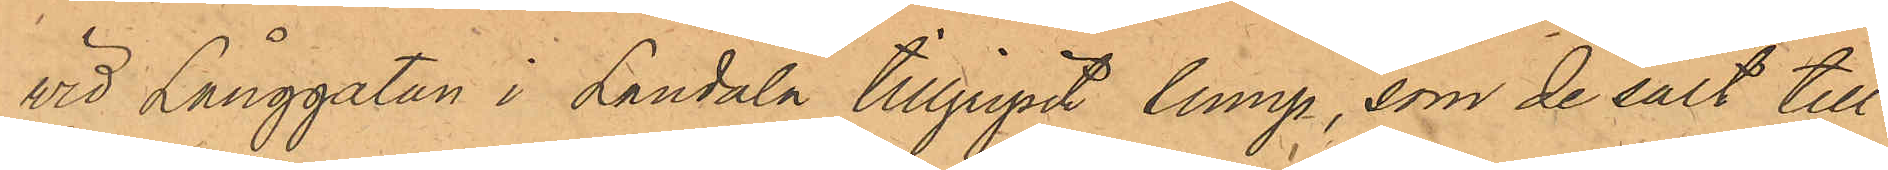vid Långgatan i Landala tillgripit lump, som de sålt till
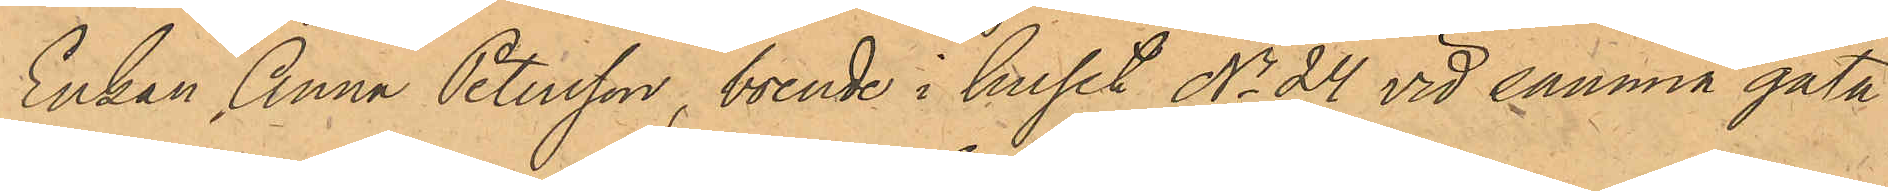Enkan Anna Petersson, boende i huset No 24 vid samma gata
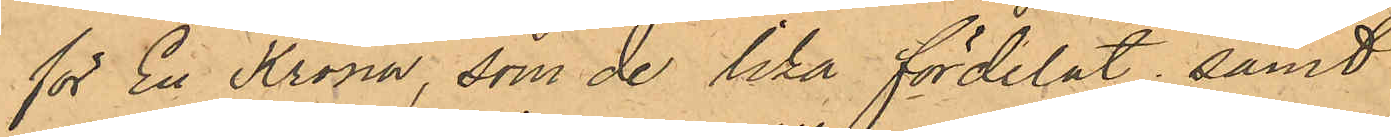för En Krona, som de lika fördelat; samt
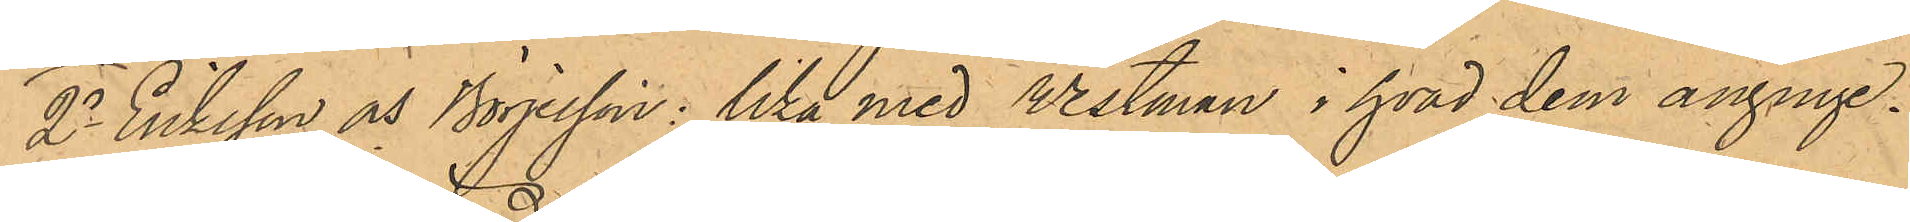2o Eriksson och Börjesson: lika med Westman i hvad dem anginge.
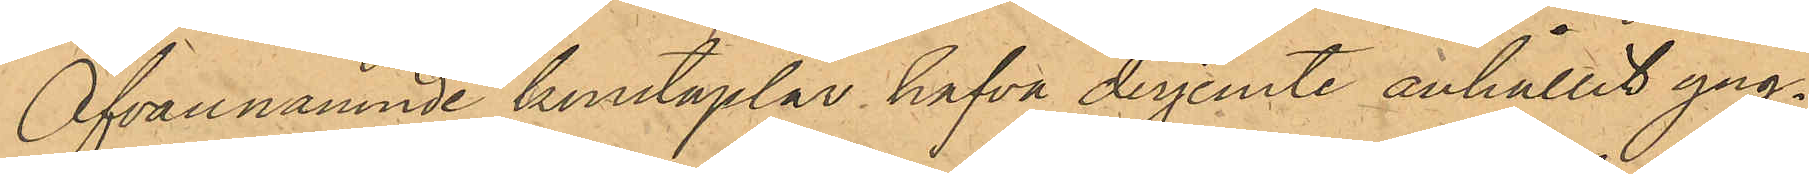Ofvannämnde konstaplar hafva derjemte anhållit yng¬
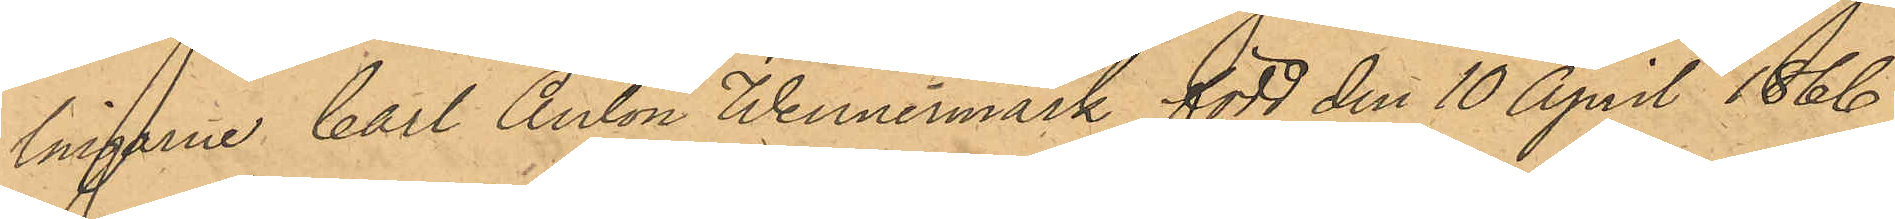lingarne Carl Anton Wennermark född den 10 April 1866
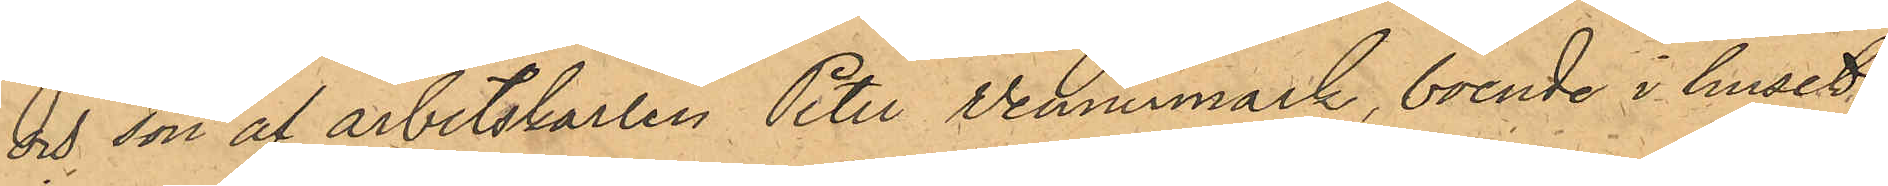och son af arbetskarlen Peter Vennermark, boende i huset
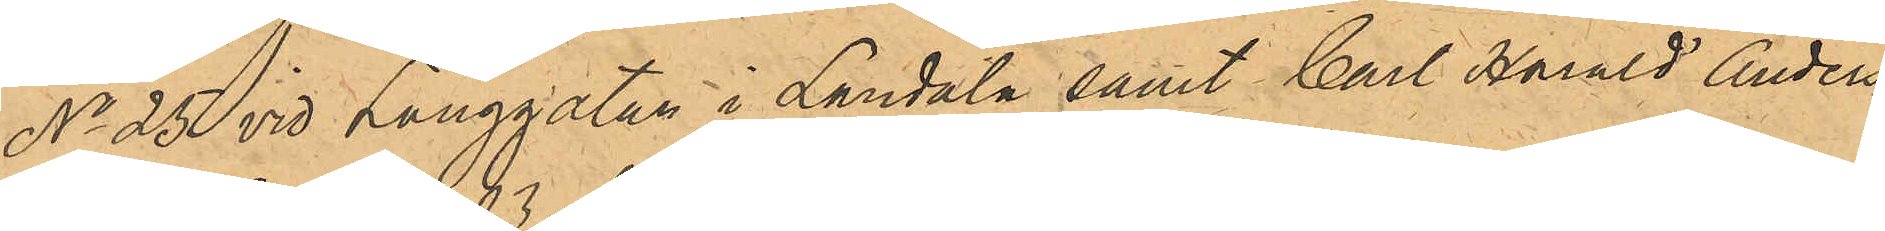No 25 vid Långgatan i Landala samt Carl Harald Anders¬
